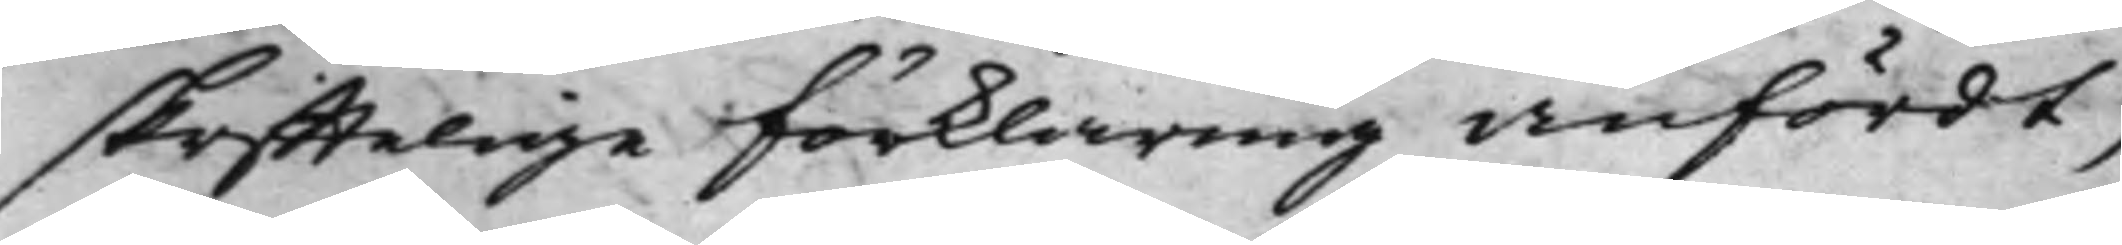skrifftelige förklaring anfördt,
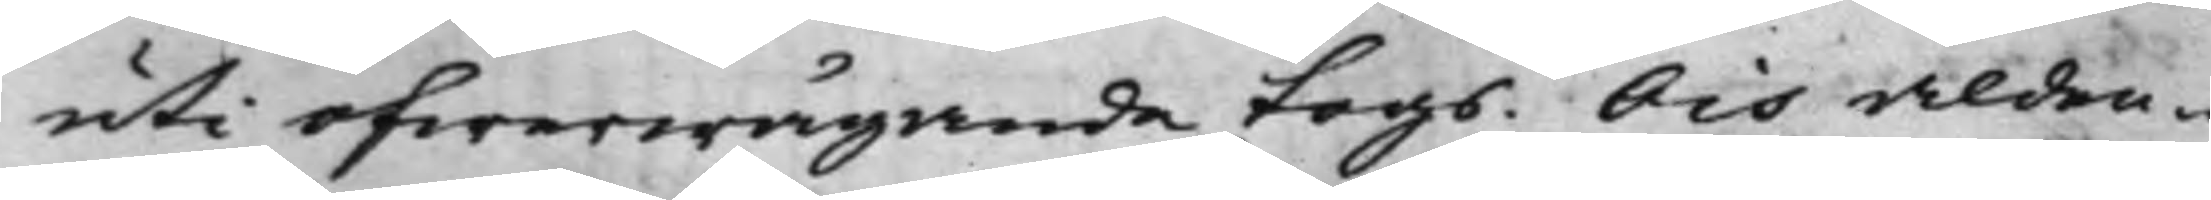uti öfwerwägande togs. Och alden¬
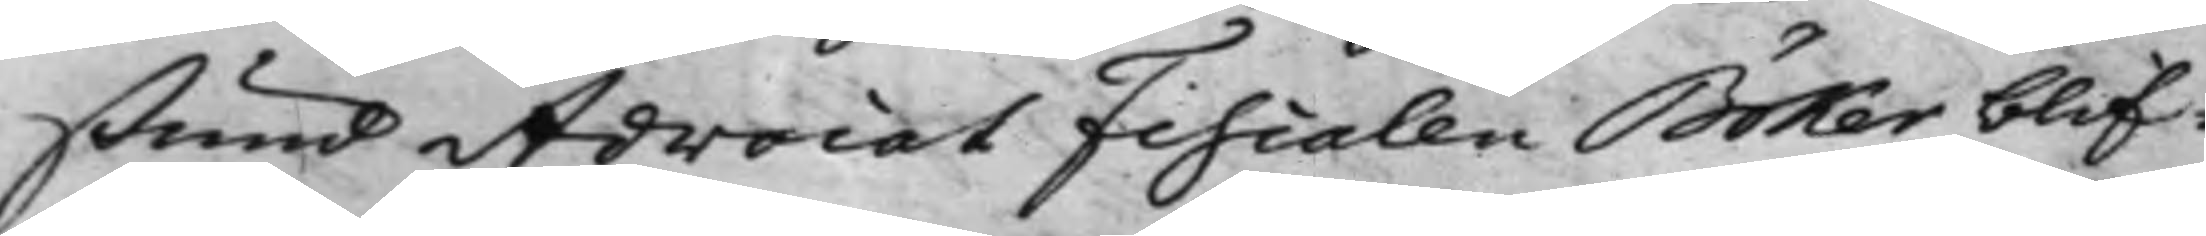stund Advocat Fiscalen Böker blif¬
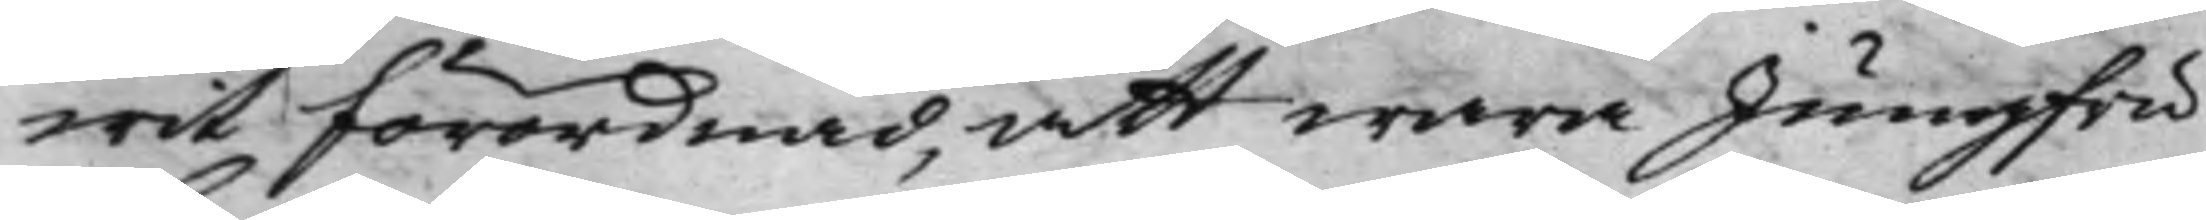wit Förordnad, att wara Jungfru
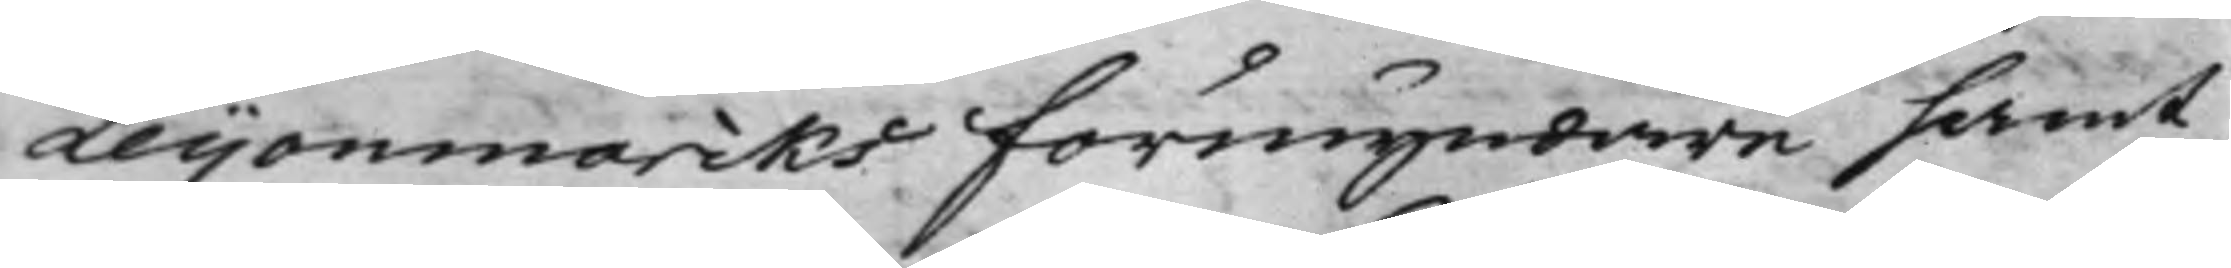Leijonmarcks Förmyndare samt
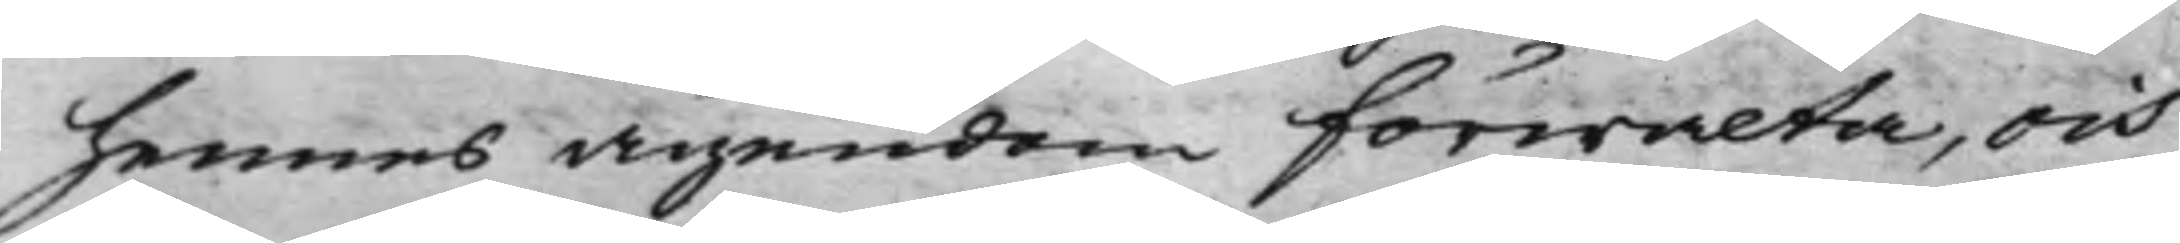hennes ägendom Förwalta, och
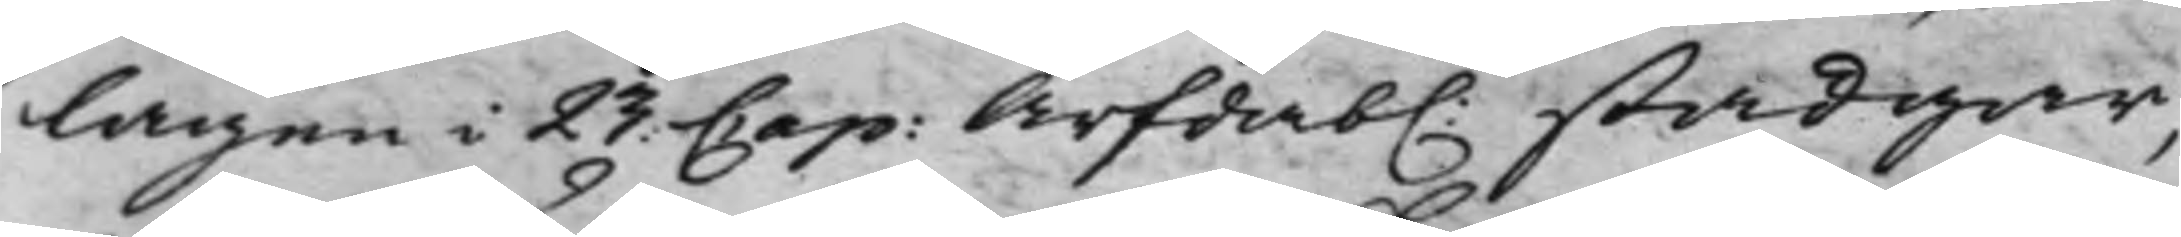lagen i 23. Cap: Ärfdab. stadgar,
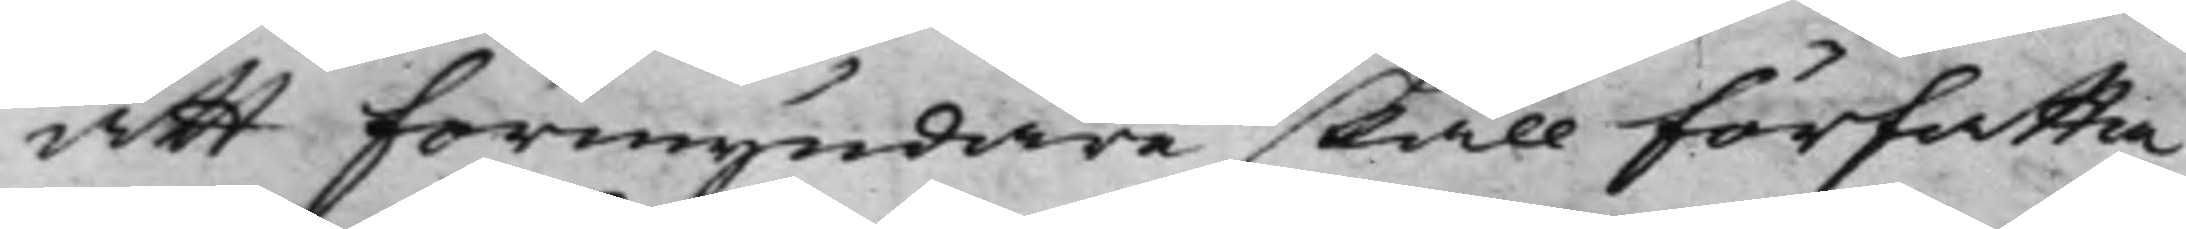att Förmyndare skall författa
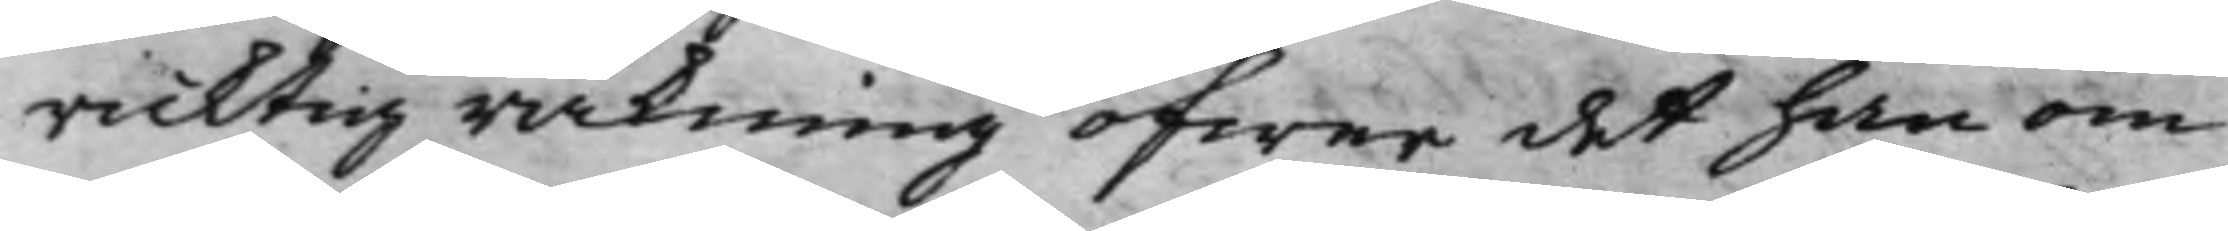ricktig räkning öfwer det han om
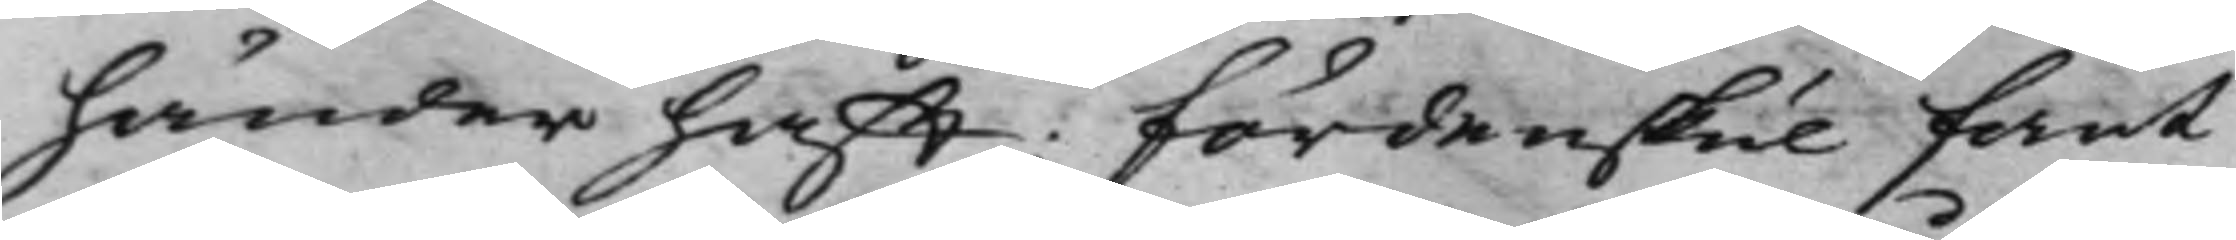händer hafft: Fördenskul fant
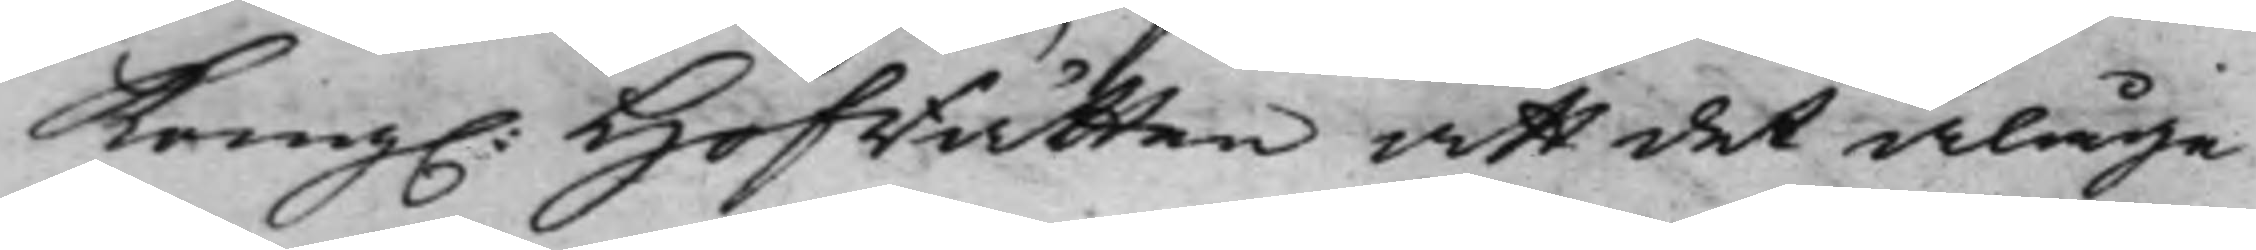Kong. Hofrätten att det ålåge
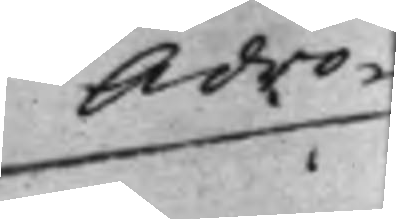Advo¬
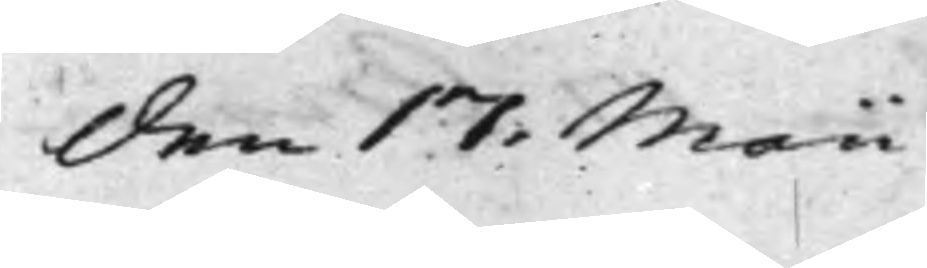den 17: Maii
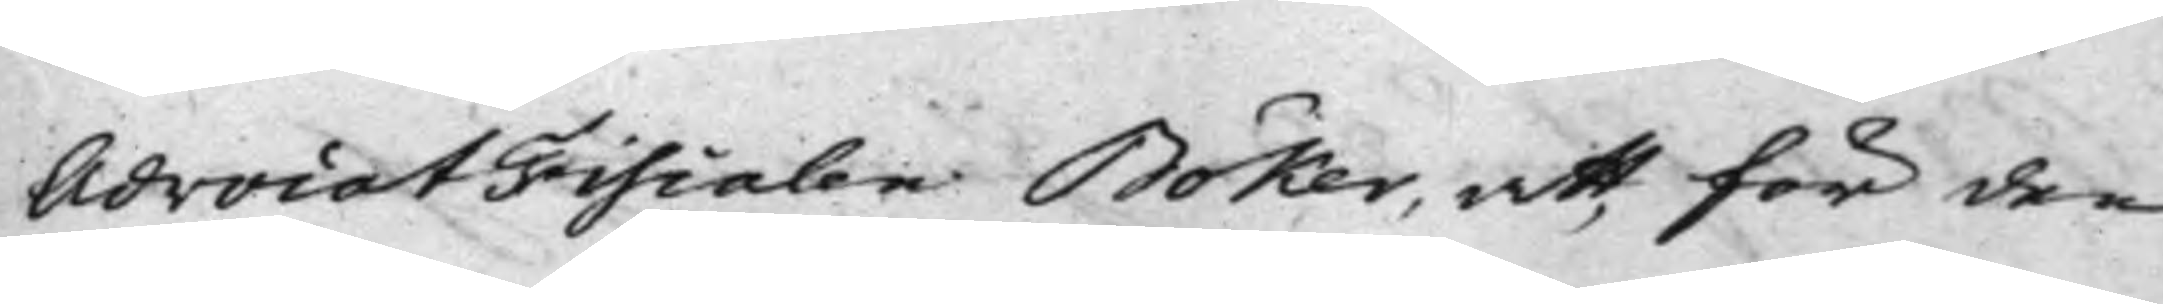AdvocatFiscalen Böker, att för den
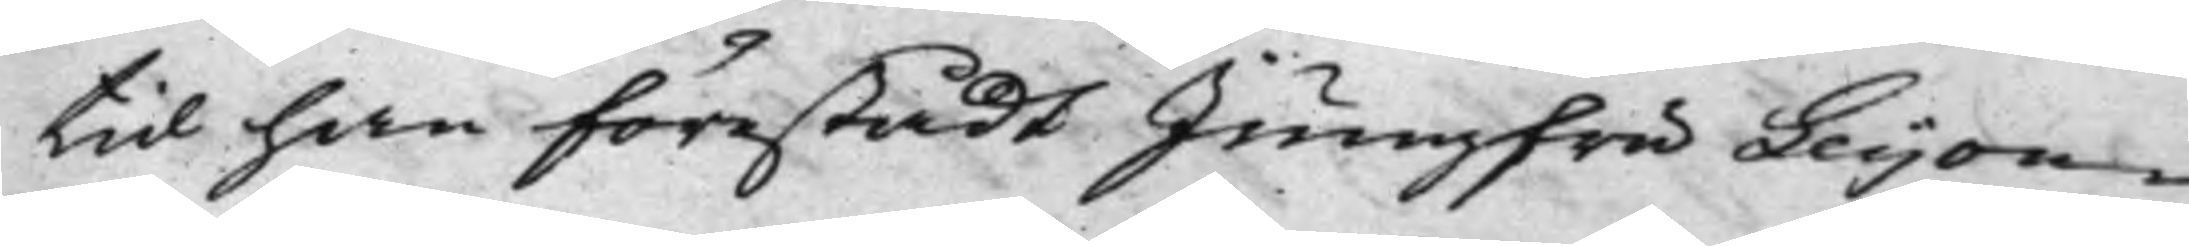tid han förestådt Jungfru Leijon¬
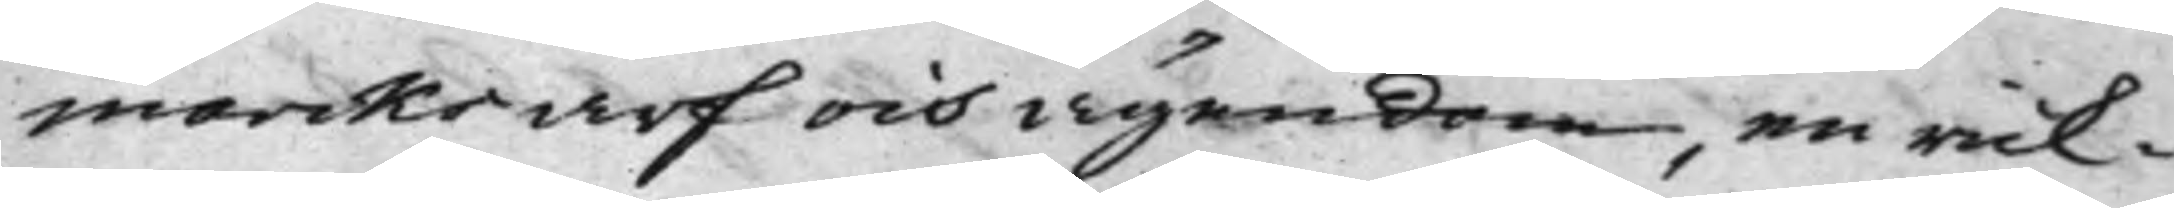marcks arf och ägendom, en rick¬
